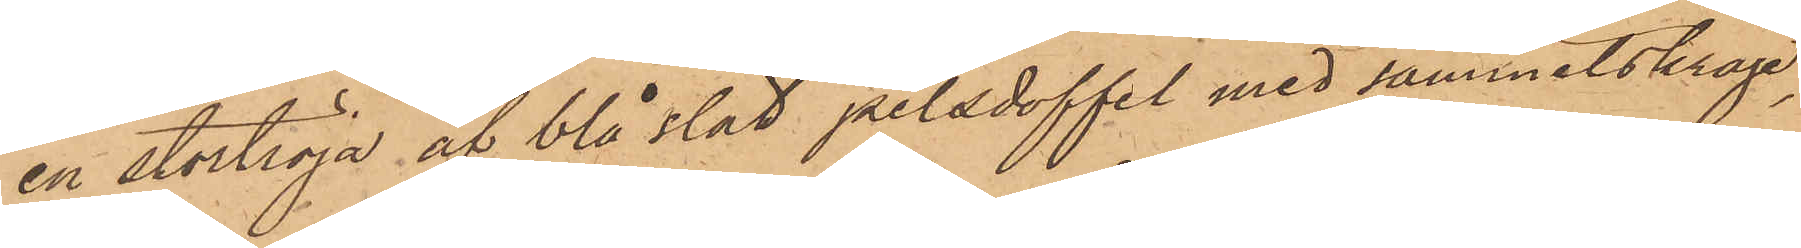en stortröja af blå slät pälsdoffel med sammetskrage,
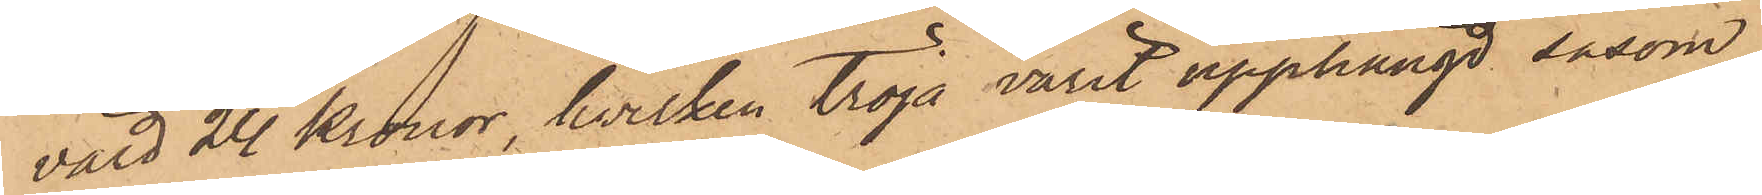värd 24 Kronor, hvilken tröja varit upphängd såsom
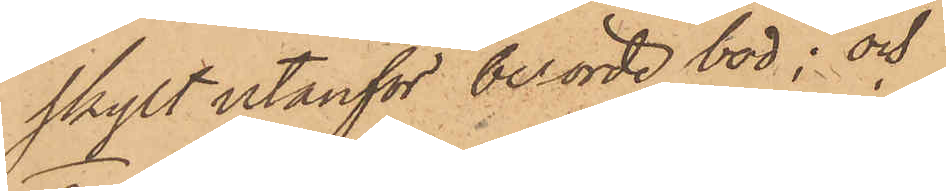skylt utanför berörde bod; och
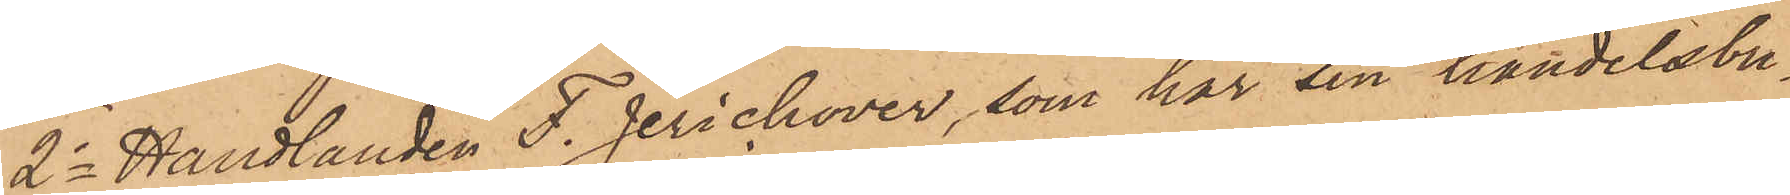2o Handlanden F. Jerichover, som har sin handelsbu¬
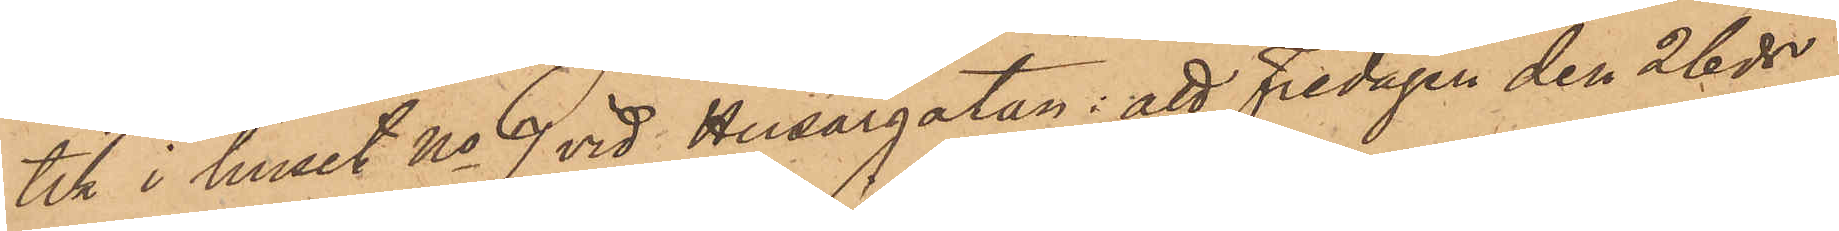tik i huset No 9 vid Husargatan: att Fredagen den 26 ds
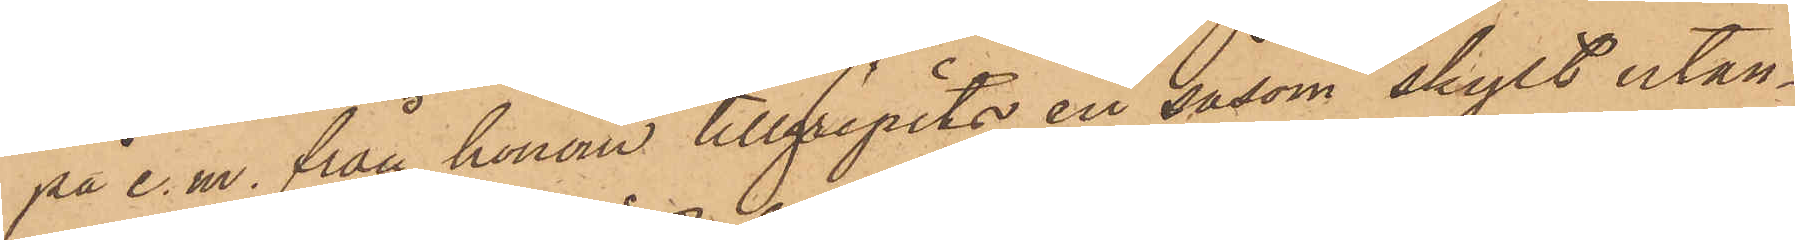på e. m. från honom tillgripits en såsom skylt utan¬
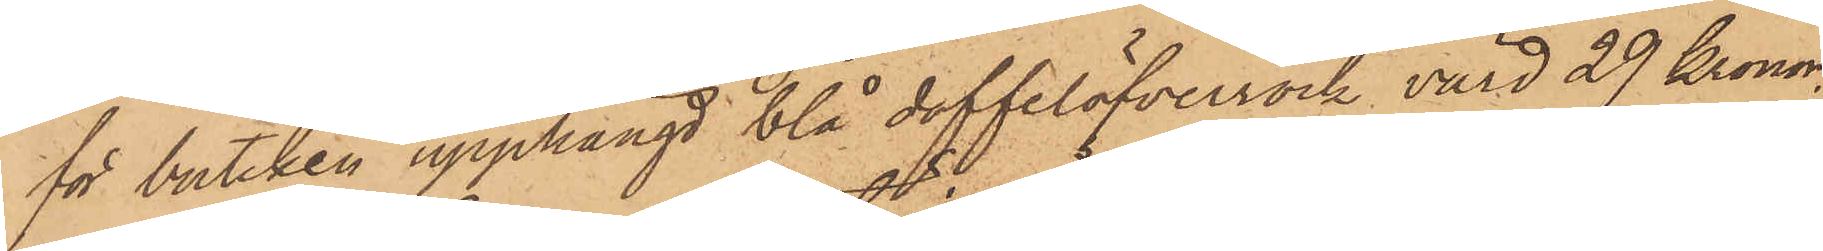för butiken upphängd blå doffelöfverrock, värd 29 Kronor.
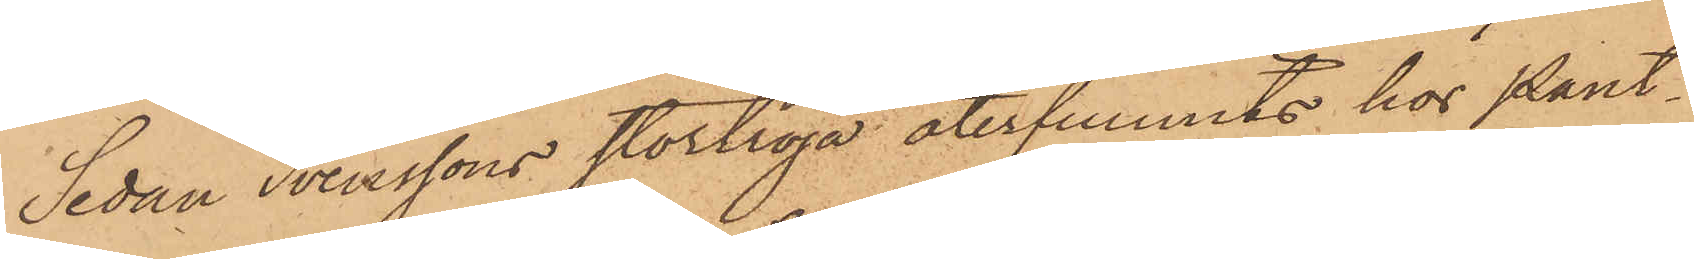Sedan Svenssons stortröja återfunnits hos Pant¬
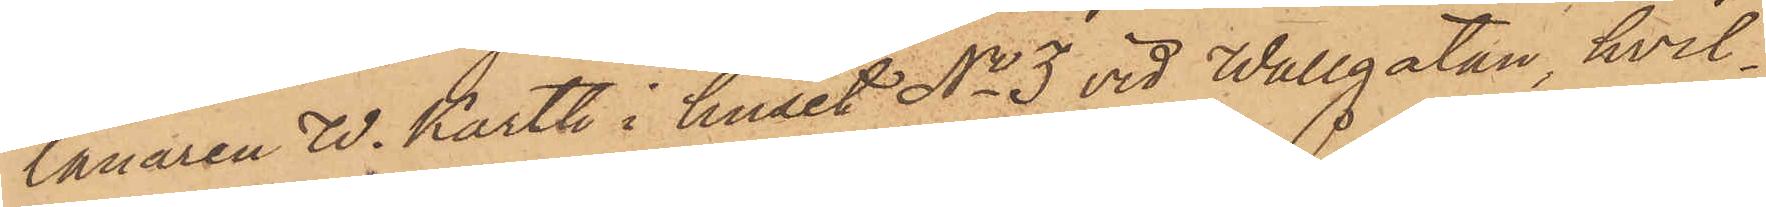lånaren W. Karth i huset No 3 vid Wallgatan, hvil¬
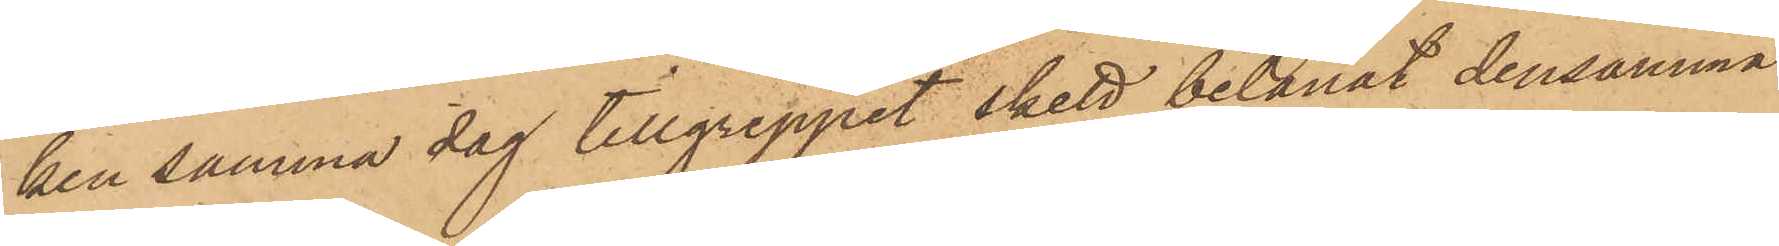ken samma dag tillgreppet skett belånat densamma
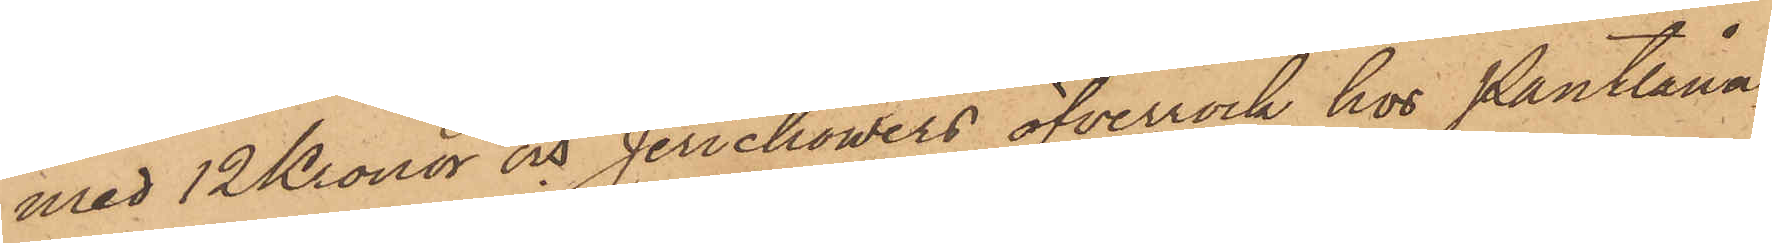med 12 Kronor och Jerichowers öfverrock hos Pantlåna¬
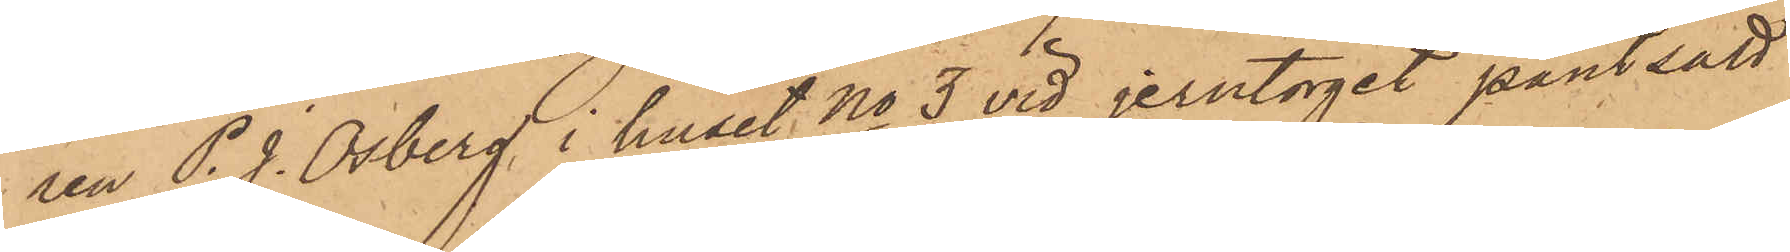ren P. J. Osberg i huset No 3 vid Jerntorget pantsatt
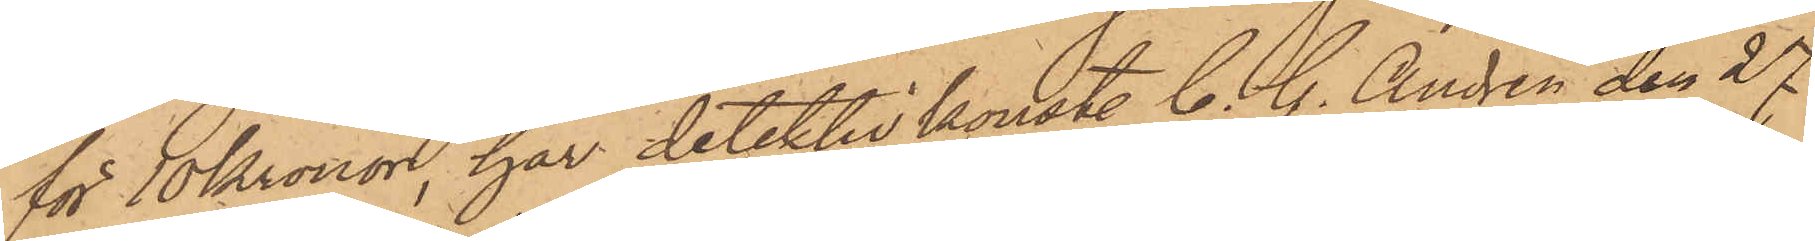för 10 Kronor, har detektivkonstl C. G. Andrén den 27
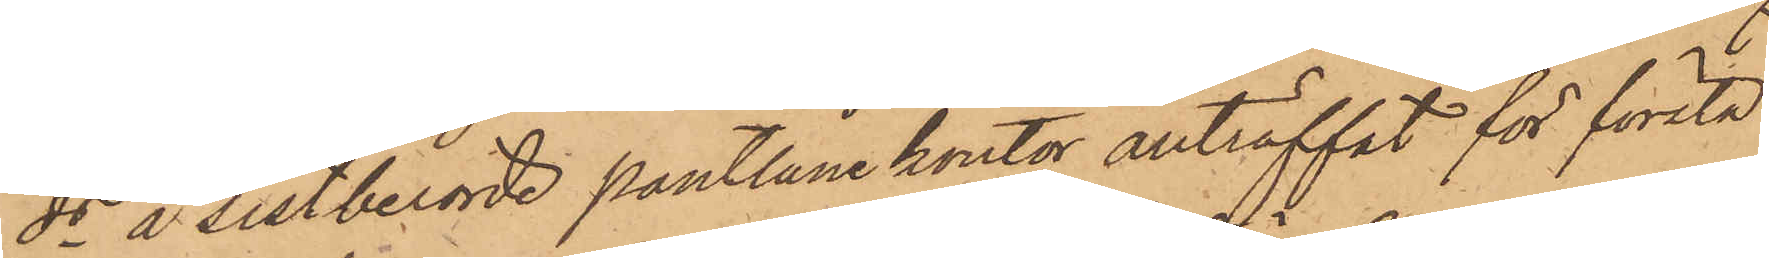ds å sistberörde pantlånekontor anträffat för första
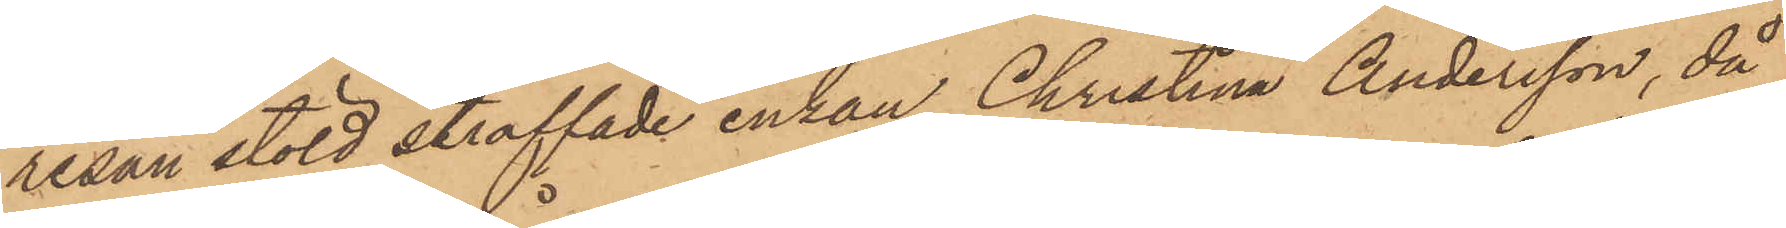resan stöld straffade enkan Christina Andersson, då
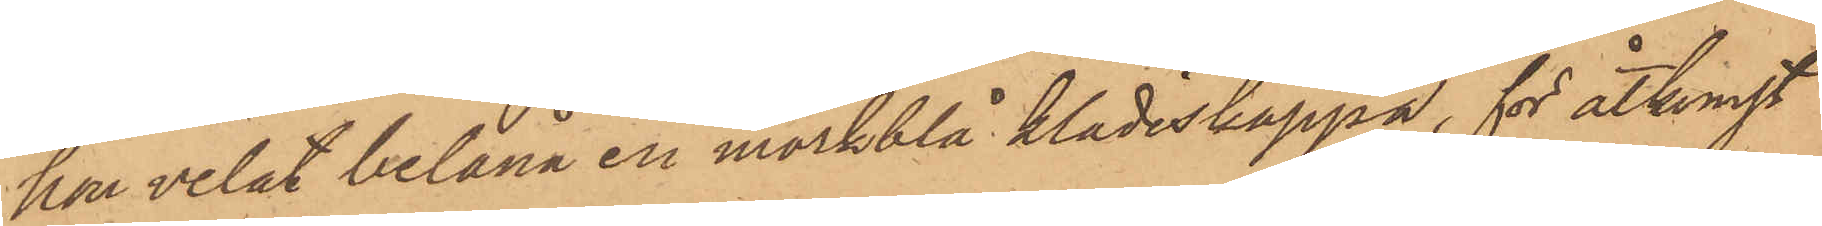hon velat belåna en mörkblå klädeskappa, för åtkomst
